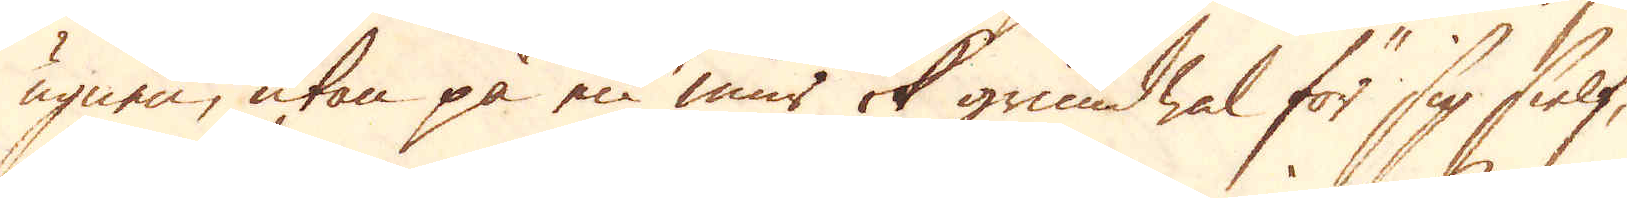ugnen, utan på en mur ok grundwal för sig sielf,
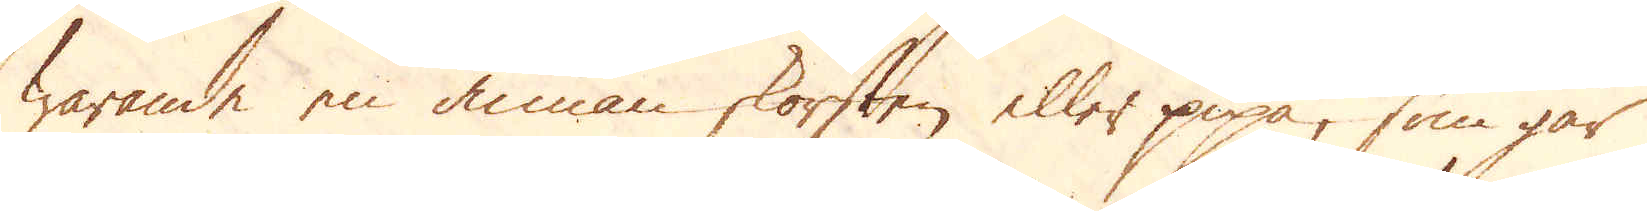warande en annan skorsten eller pipa, som går
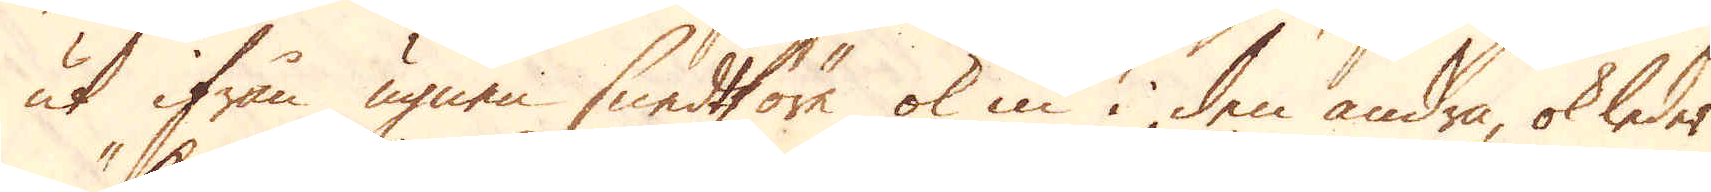ut ifrån ugnen snedtförre ok in i den andra, ok leder
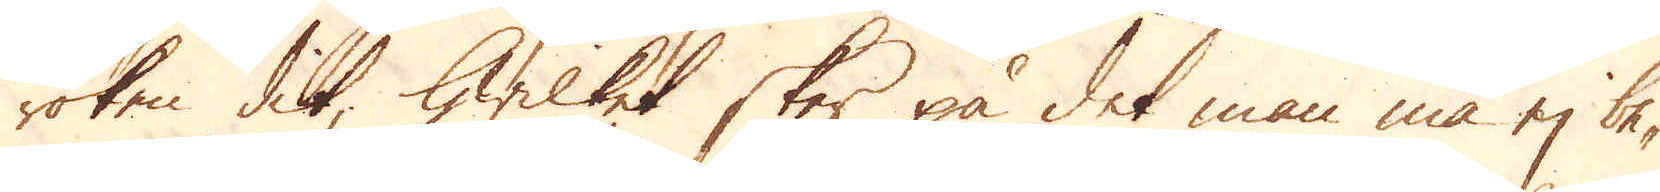röken dit, hwilket sker på det man må ej be-
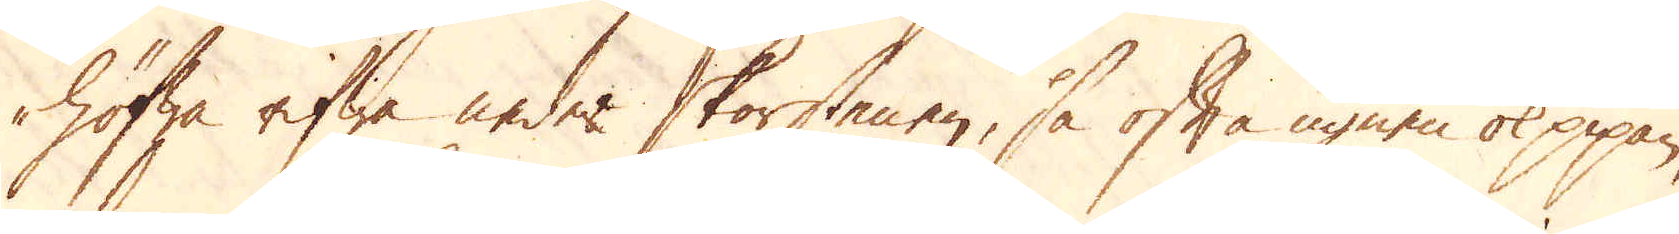höfwa rifwa neder skorstenen, så ofta ugnen ok pipan,
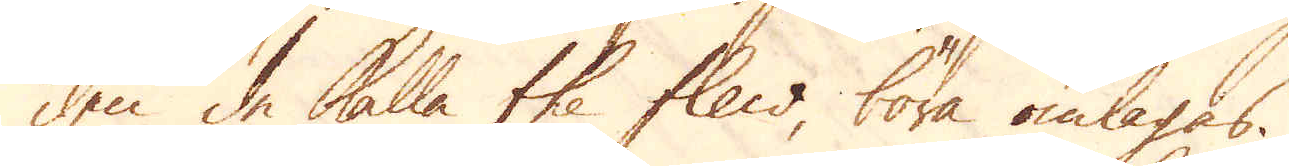den de kalla the flew böra omlagas.
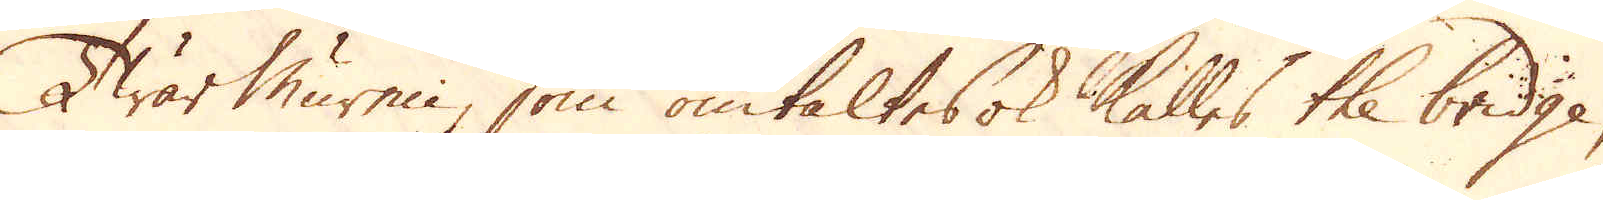TwärMuren, som omtaltes ok kalles the bridge,
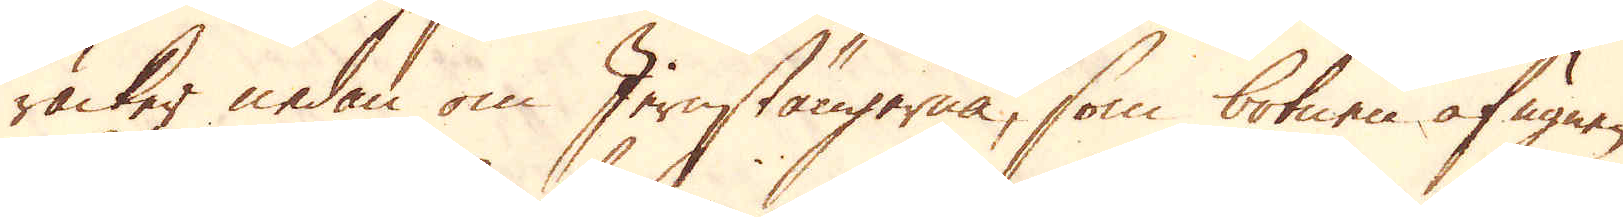räcker nedan om Jernstängerna, som botnen af ugnen
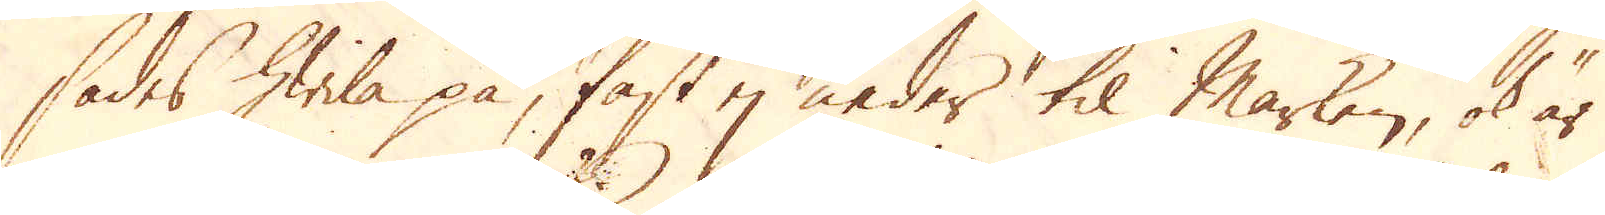sades hwila på, fast ej neder til Marken, ok är
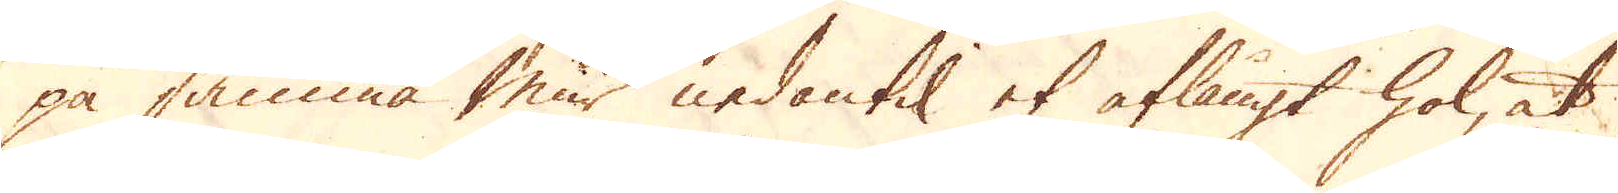på samma mur nedantil et aflångt hol, at
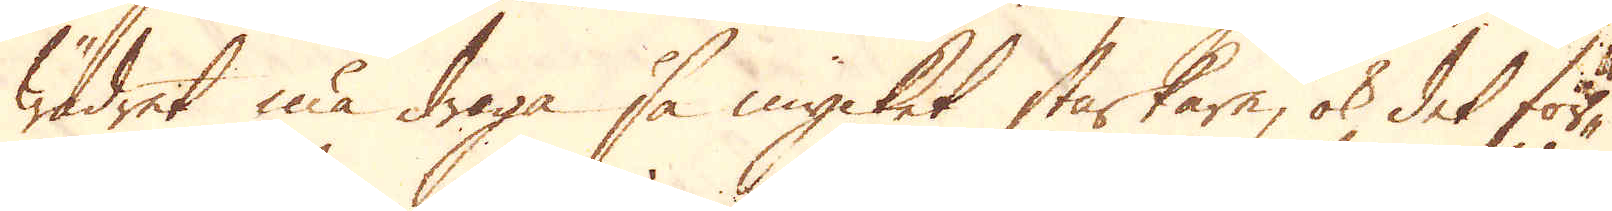wädret må draga så mycket starkare, ok det för-
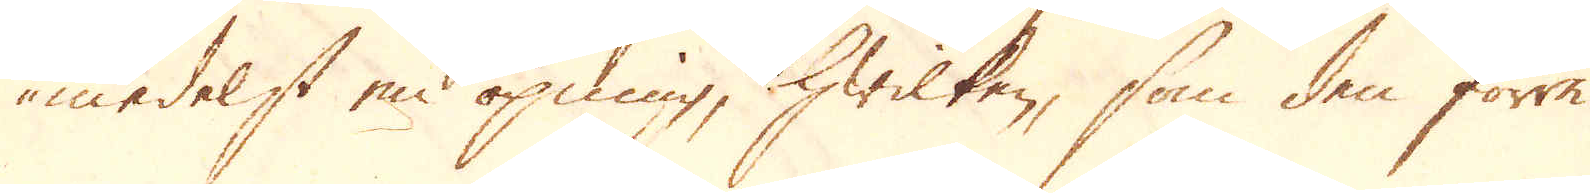medelst en öpning, hwilken, som den förra
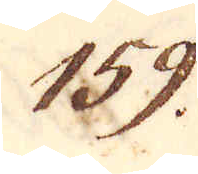159.
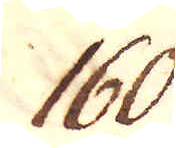160.
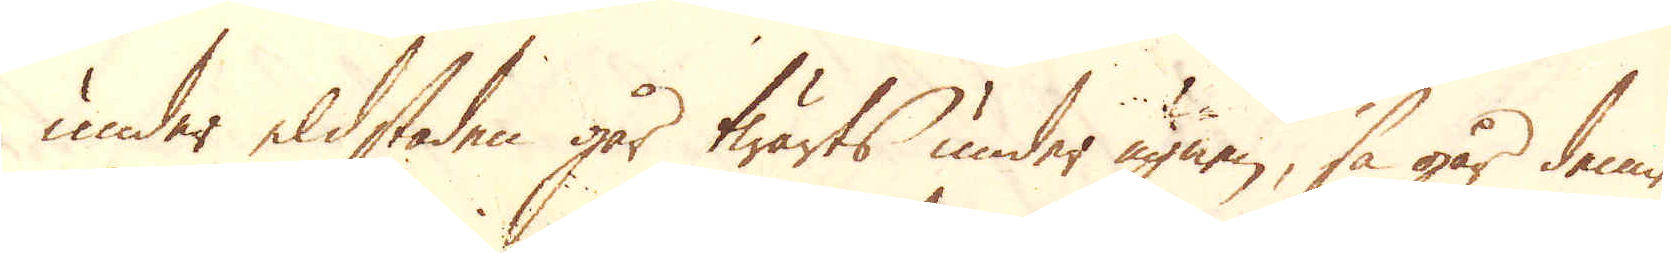under eldstaden går twärts under ugnen, så går denne
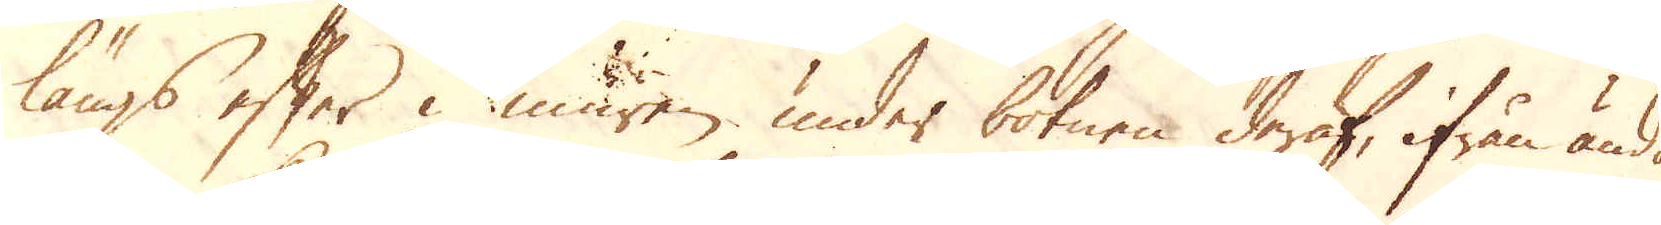längs efter i muren under botnen deraf, ifrån ända
